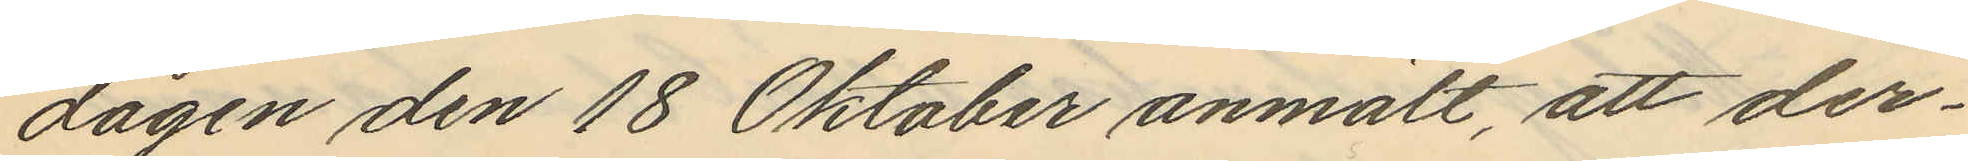dagen den 18 Oktober anmält, att der¬
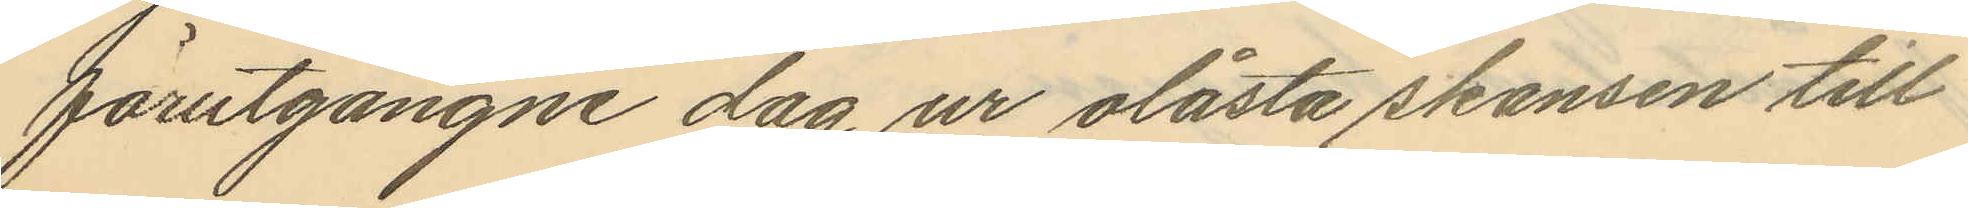förutgångne dag ur olåsta skansen till
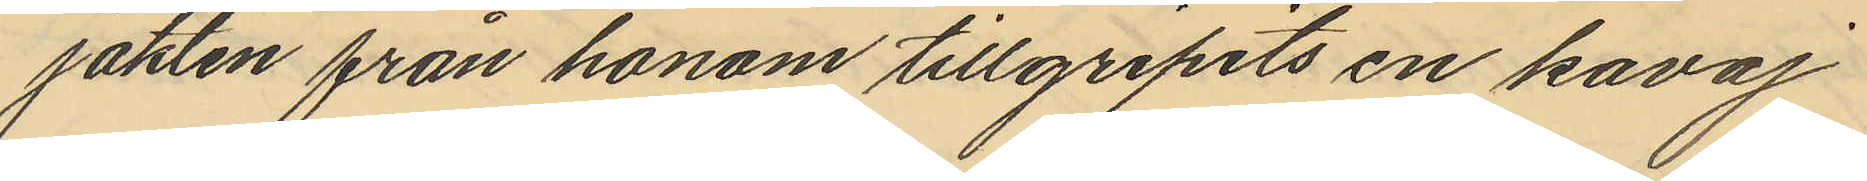jakten från honom tillgripits en kavaj
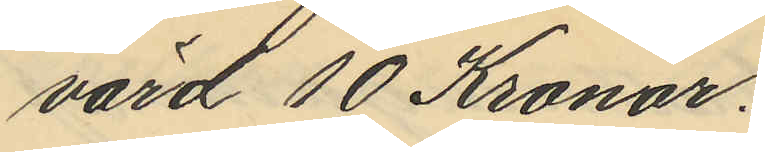värd 10 Kronor.
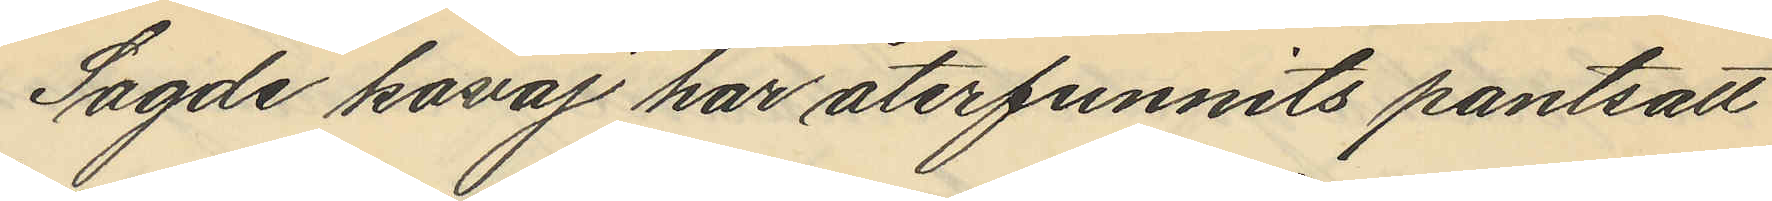Sagde kavaj har återfunnits pantsatt
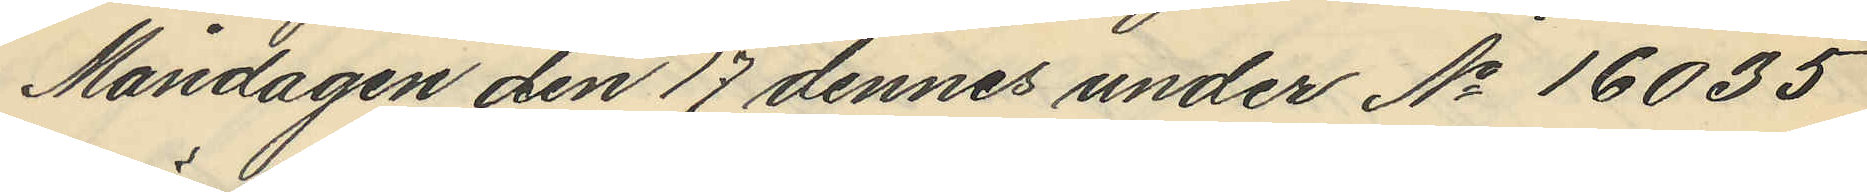Måndagen den 17 dennes under No 16035
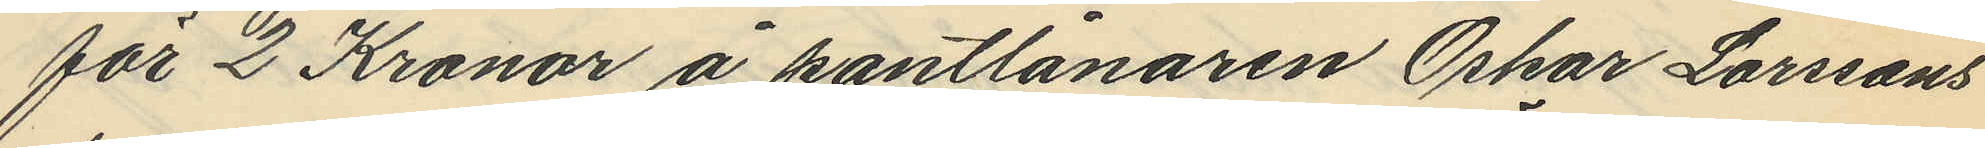för 2 Kronor å pantlånaren Oskar Larssons
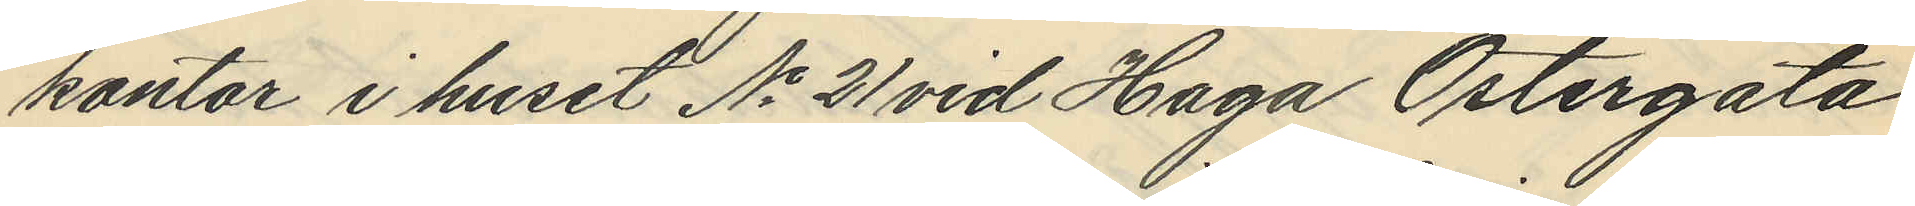kontor i huset No 21 vid Haga Östergata
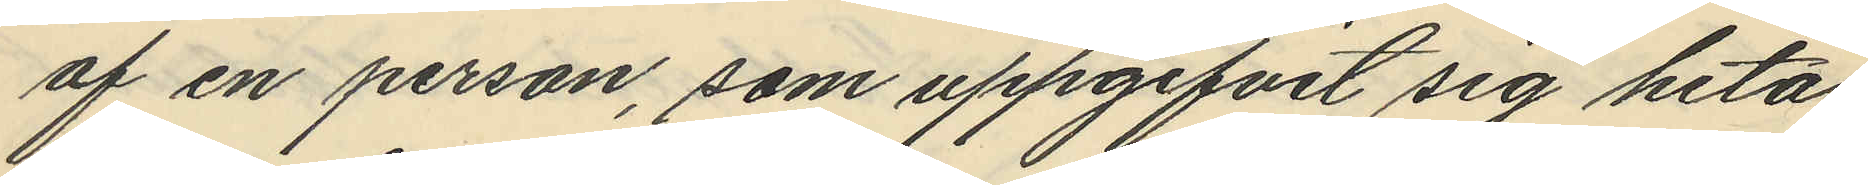af en person, som uppgifvit sig heta
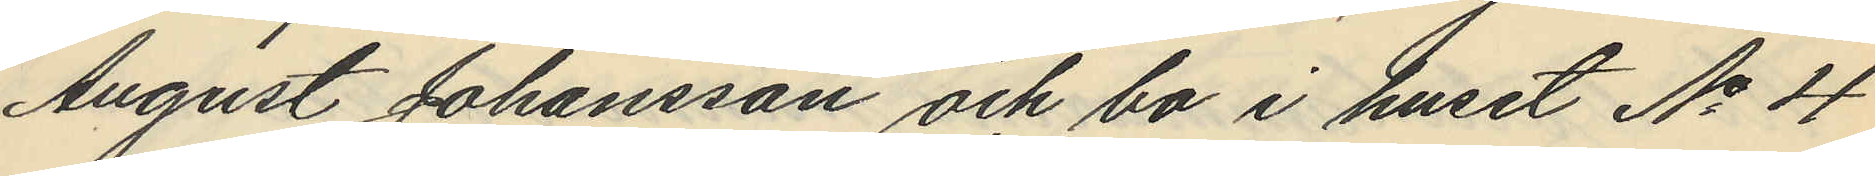August Johansson och bo i huset No 4
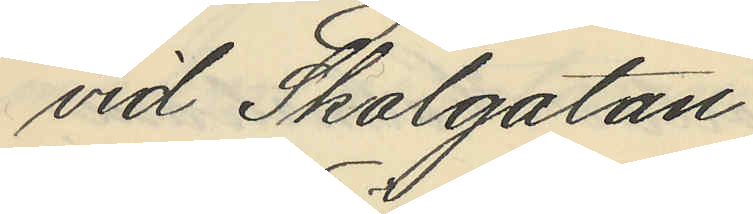vid Skolgatan.
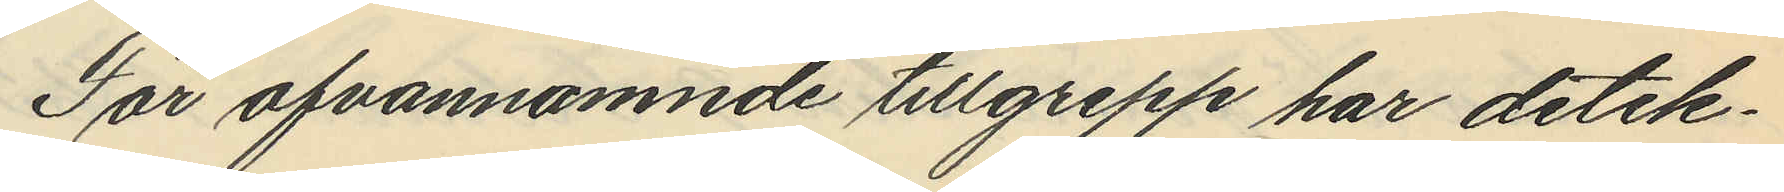För ofvannämnde tillgrepp har detek¬
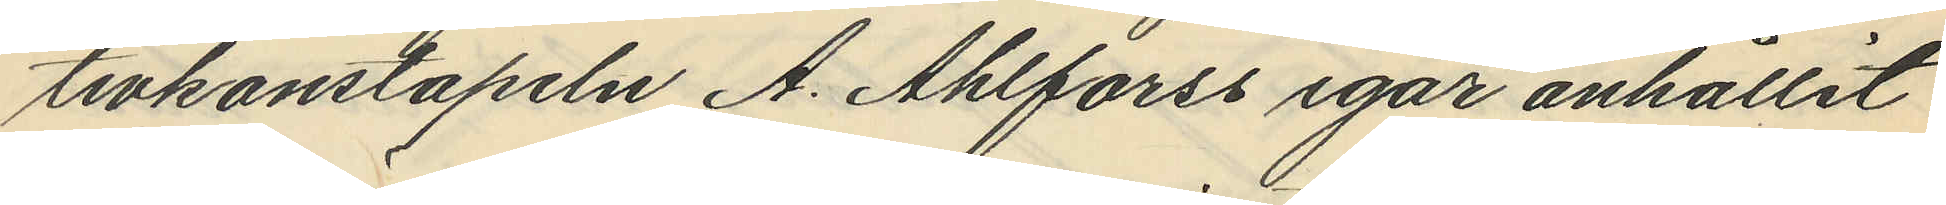tivkonstapeln A. Ahlforss igår anhållit
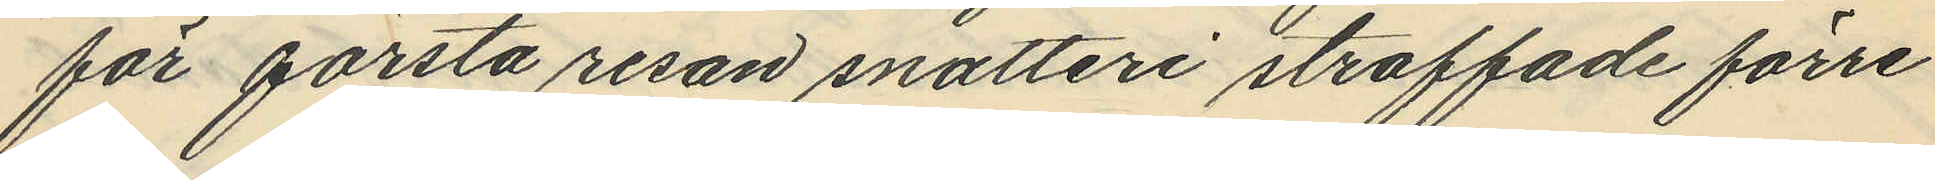för första resan snatteri straffade förre
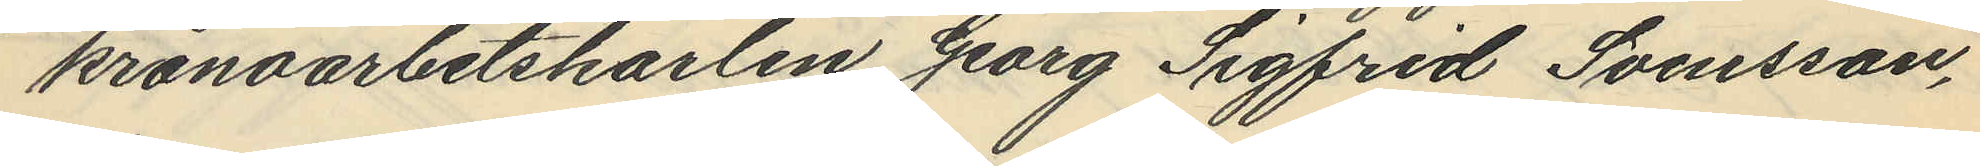kronoarbetskarlen Georg Sigfrid Svensson,
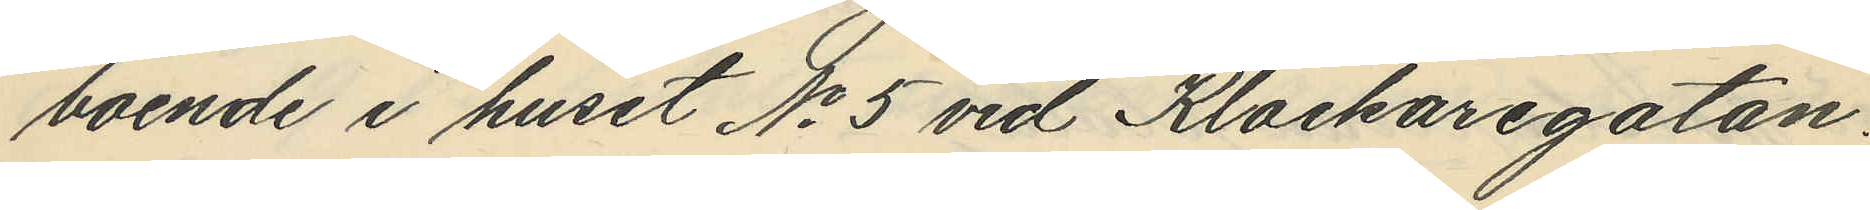boende i huset No 5 vid Klockaregatan.
